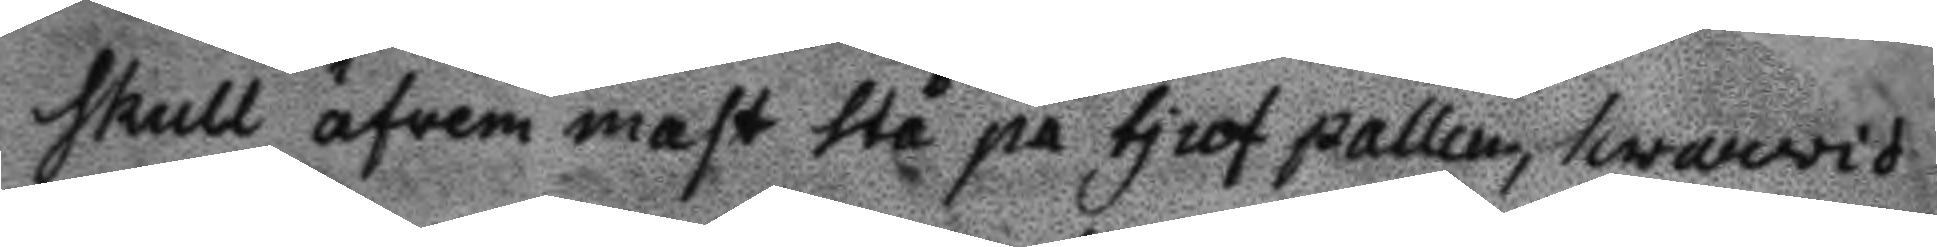skull äfven mast stå på tjuf pallen, hwarwid 
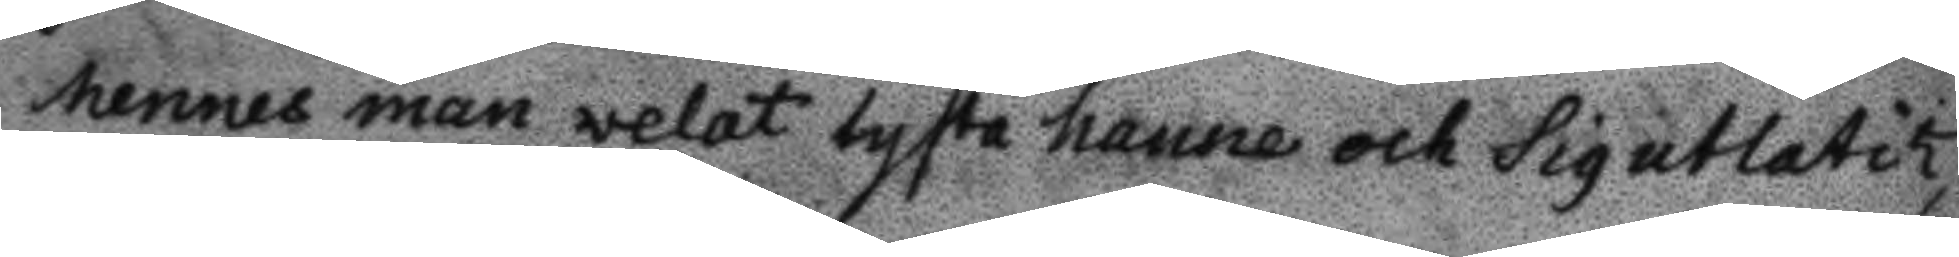hennes man welat tysta henne och sig utlatit,
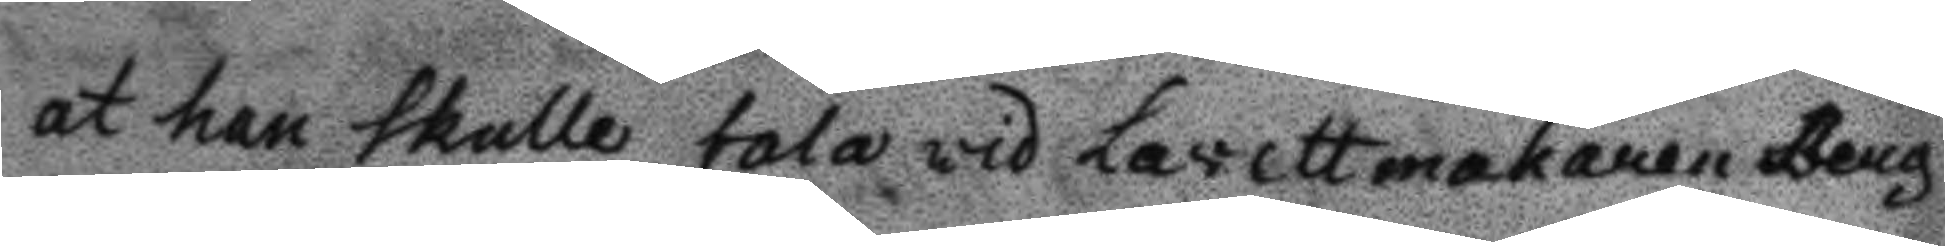at han skulle tala wid Lavettmakaren Berg
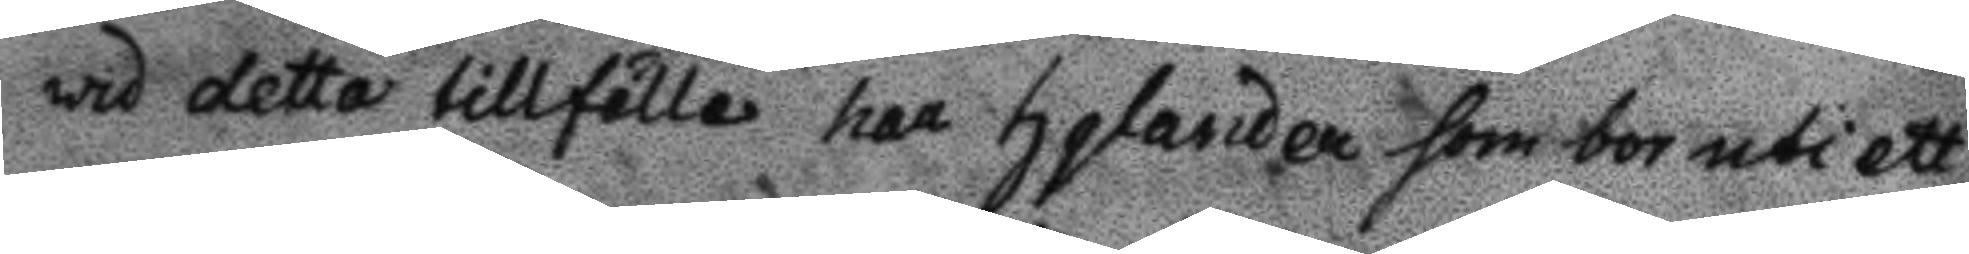wid detta tillfälle haar hylander som bor uti ett
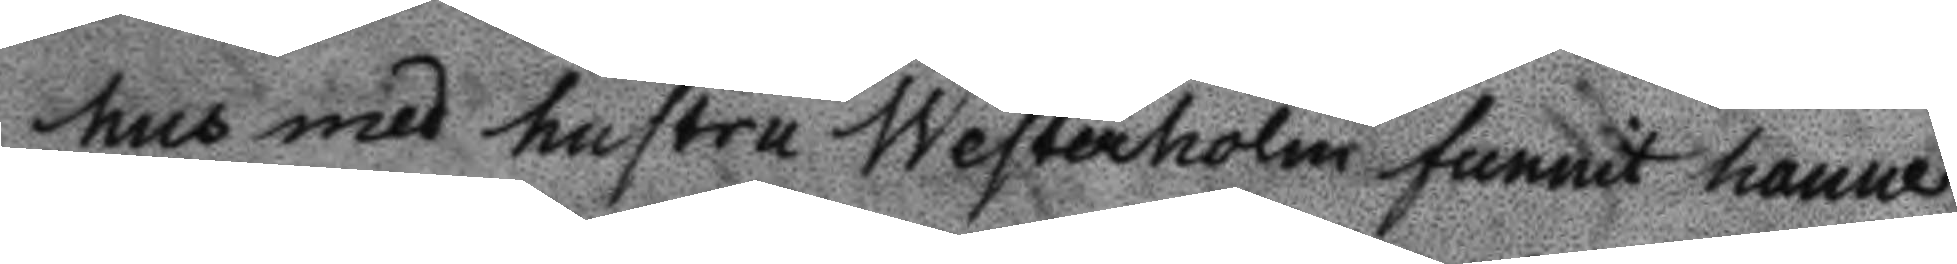hus med hustru Westerholm funnit henne
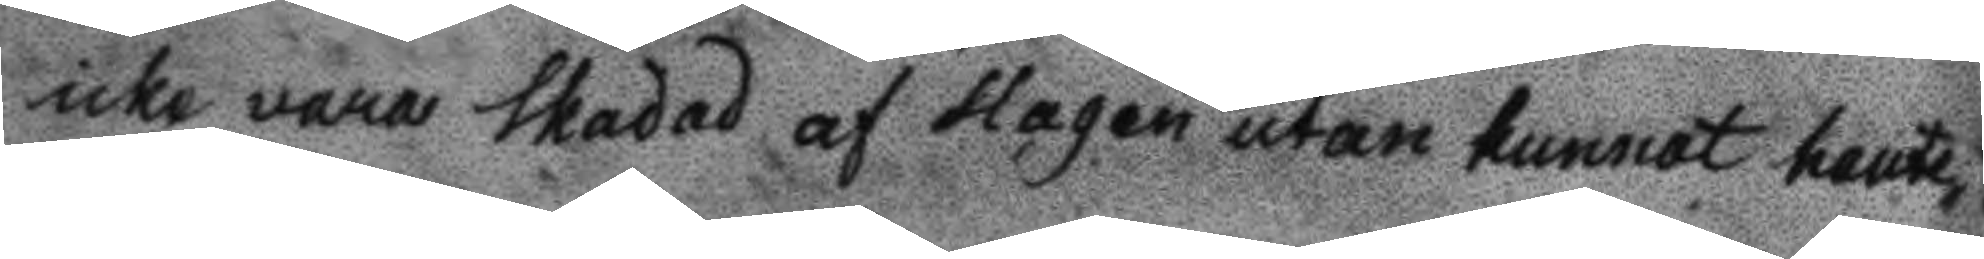icke vara skadad af slagen utan kunnat hante¬
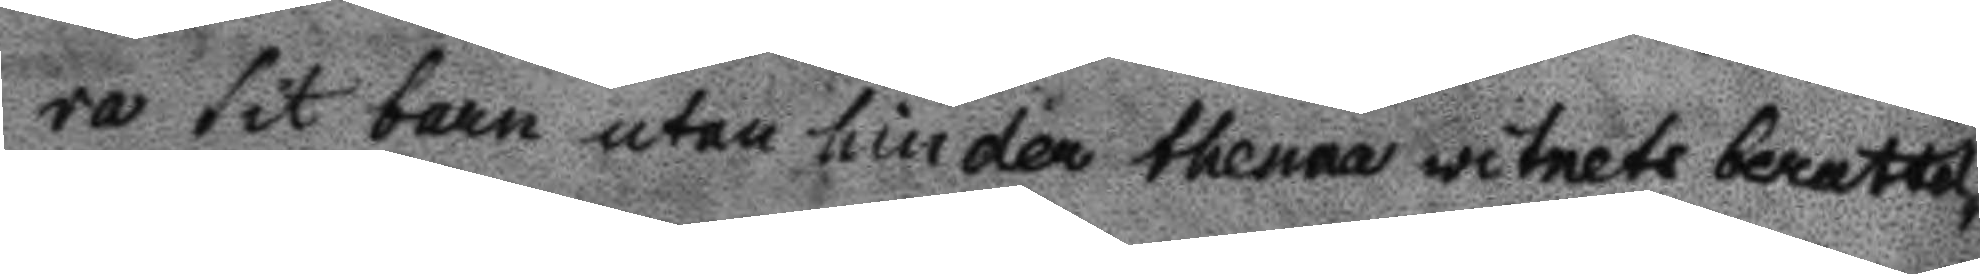ra sit barn utan hinder thenna witnets berattel¬
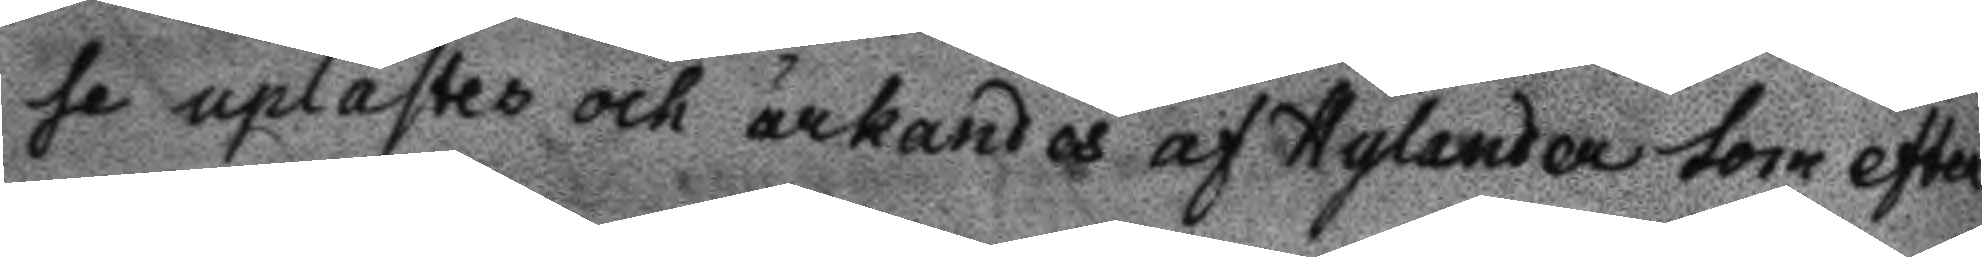se uplastes och ärkandes af Hylander som efter 
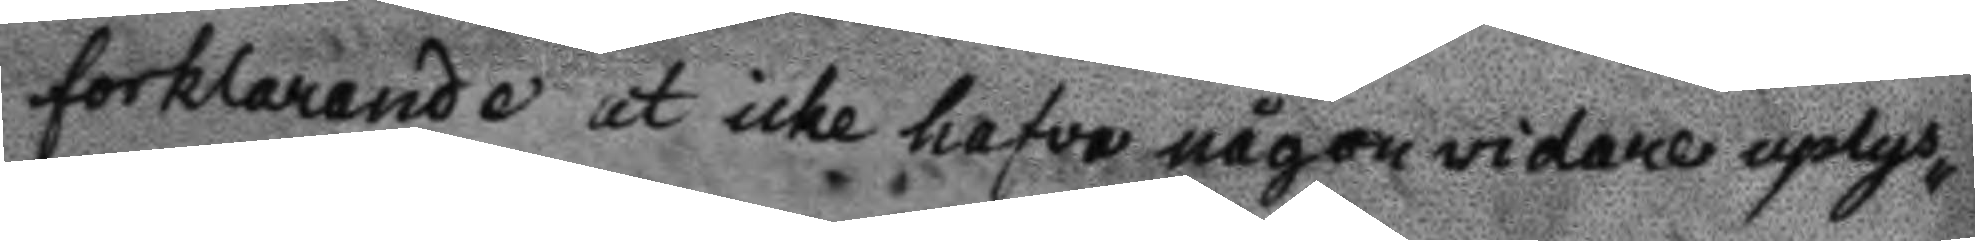forklarade at icke hafva någon widare uplys¬
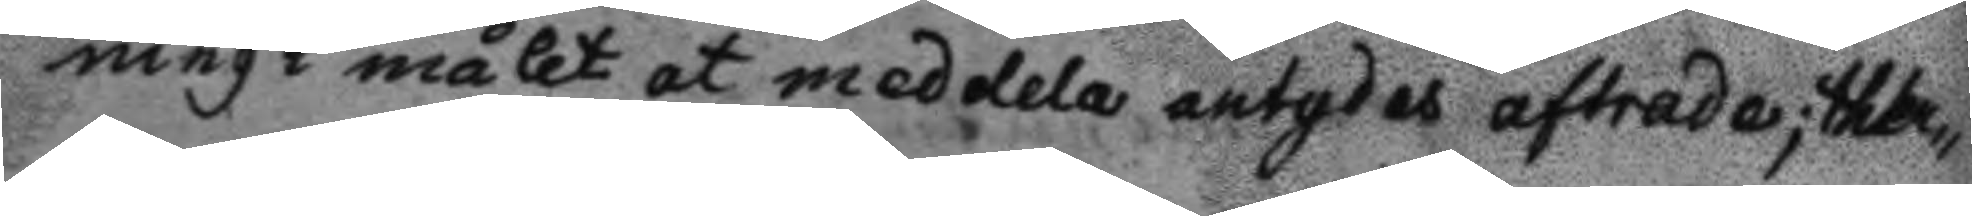ning i målet at meddela antydes aftrade; ther¬
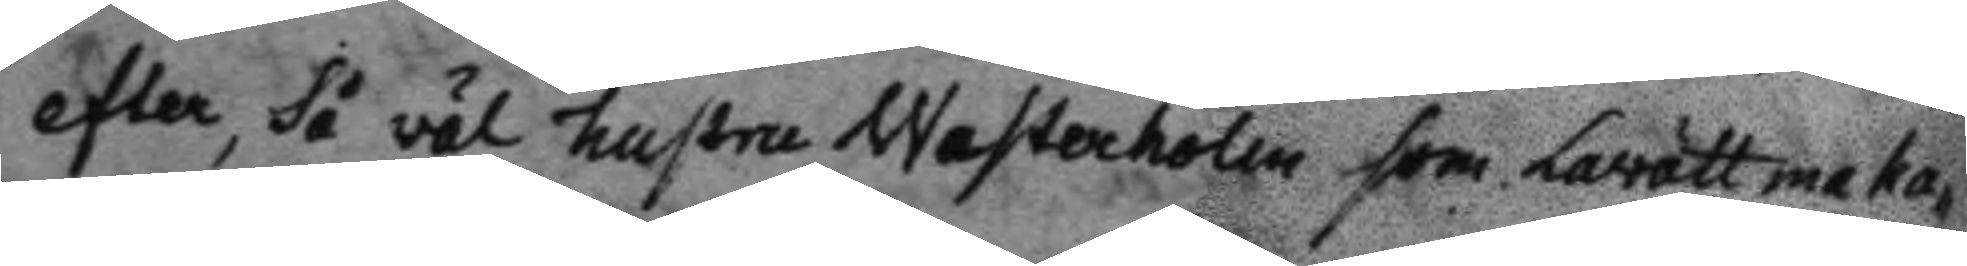efter, så väl hustru Westerholm som Lavättmaka¬
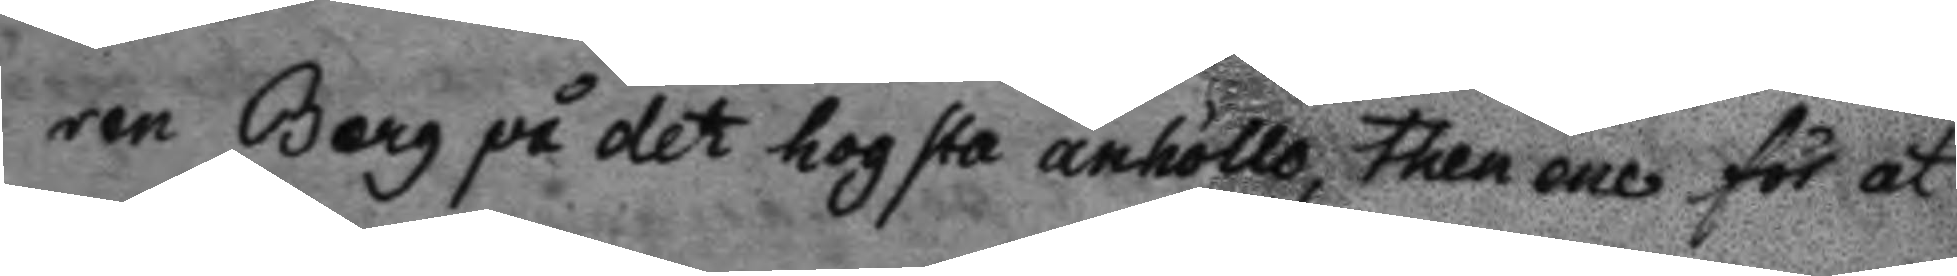ren Berg på det hogsta anhöllo, then ene för at
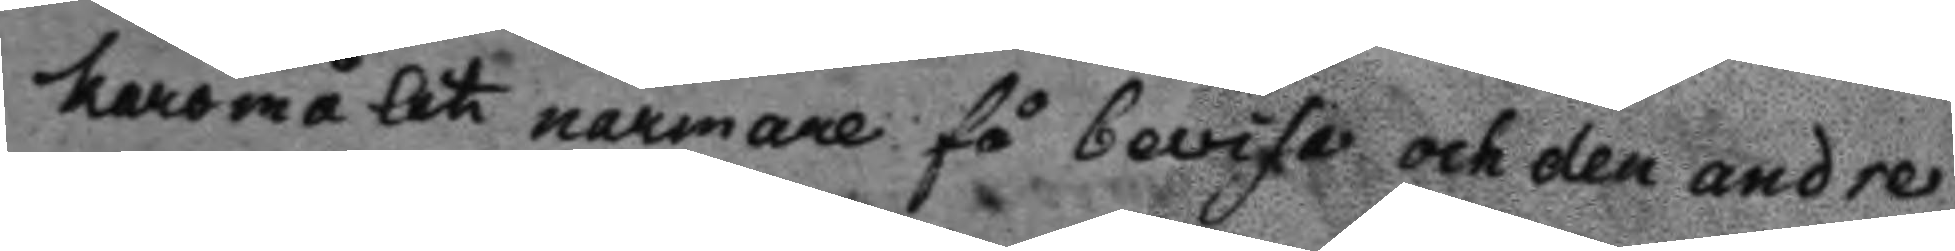karomålet narmare få bevisa och den andre
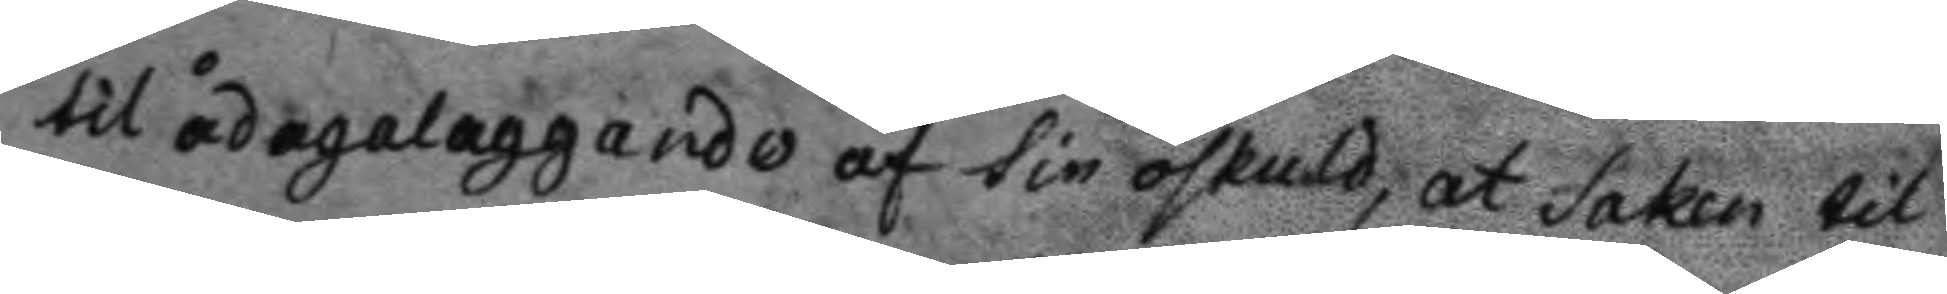til ådagalaggande af sin oskuld, at saken til
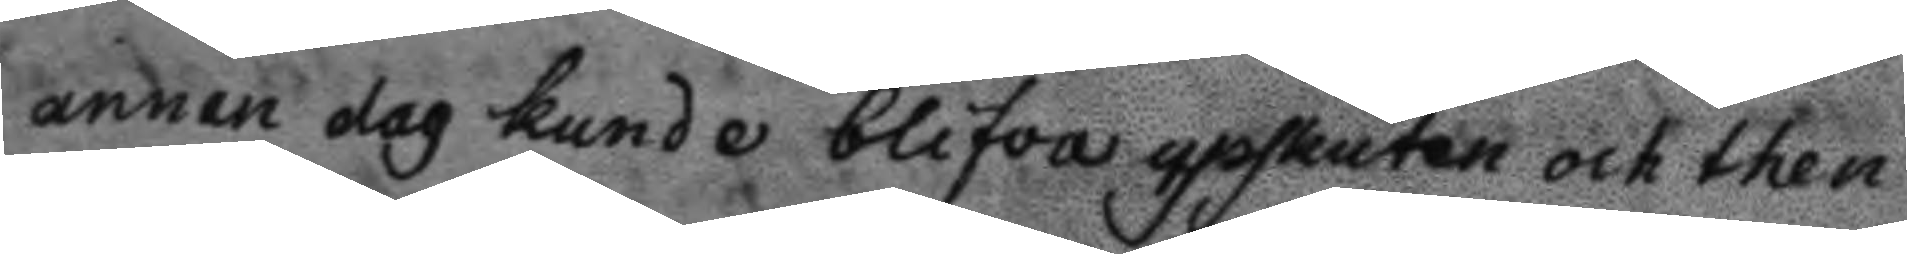annan dag kunde blifva upskuten och then
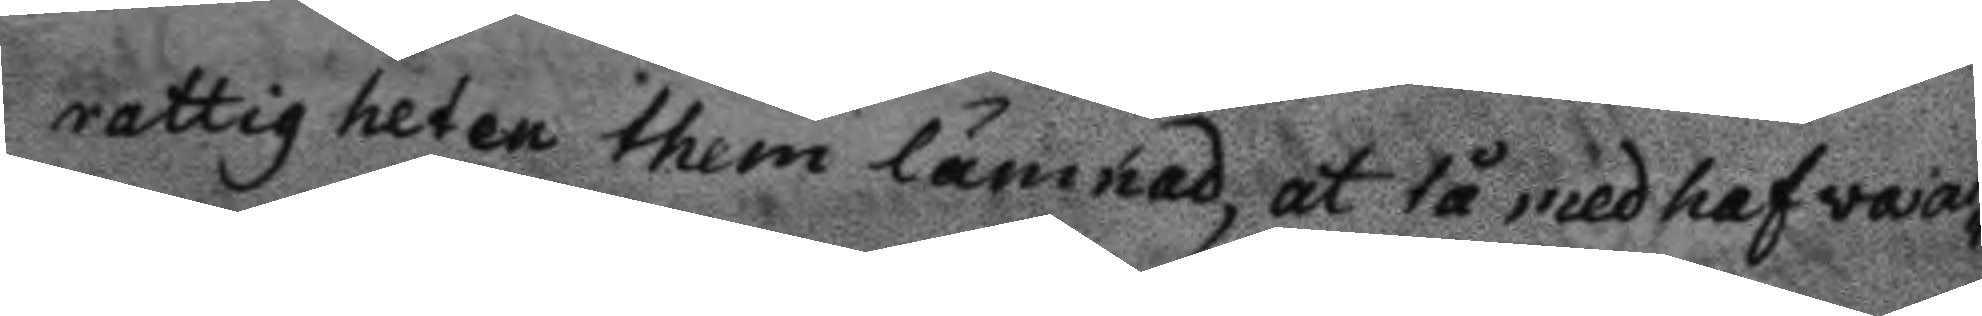rattigheten them lämnad, at tå medhafva al¬
